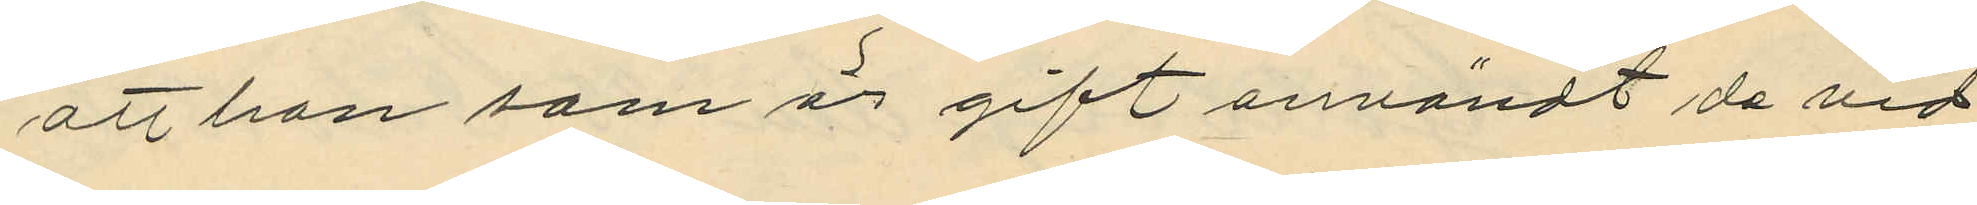att han som är gift användt de vid
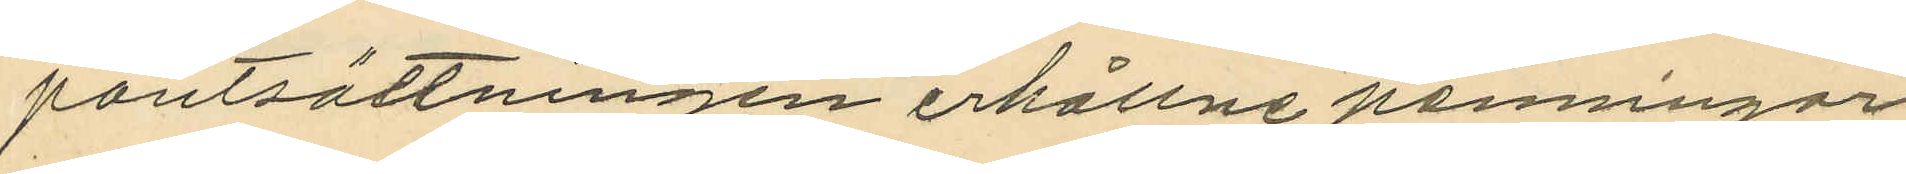pantsättningen erhållne penningar
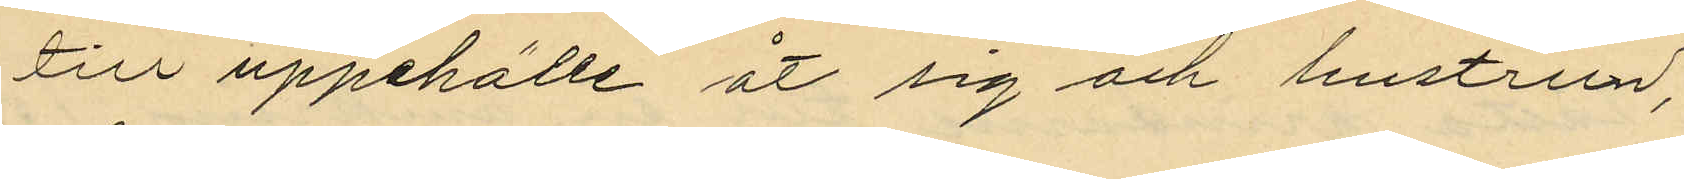till uppehälle åt sig och hustrun;
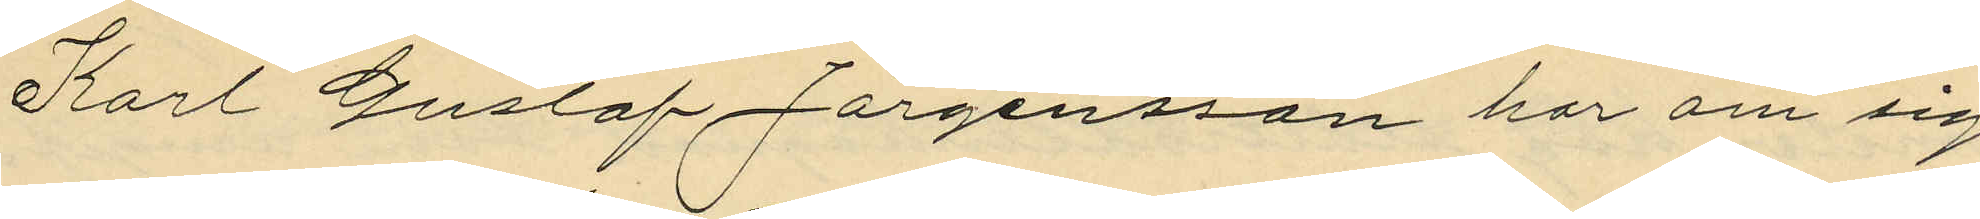Karl Gustaf Jörgensson har om sig
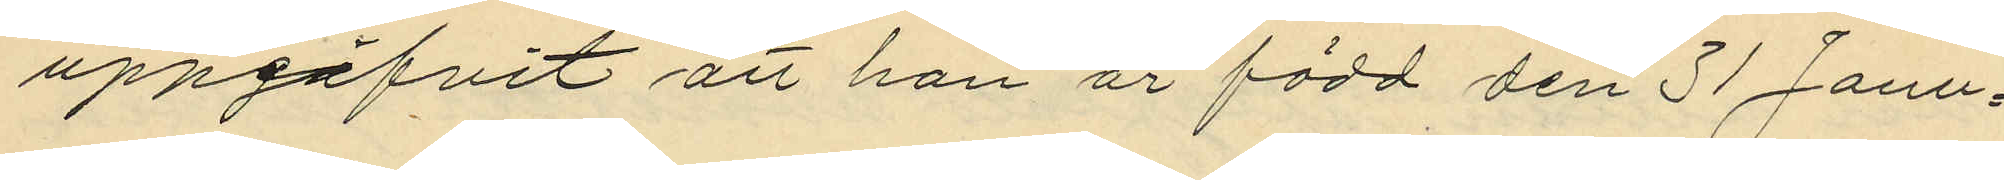uppgifvit att han är född 31 Janu¬
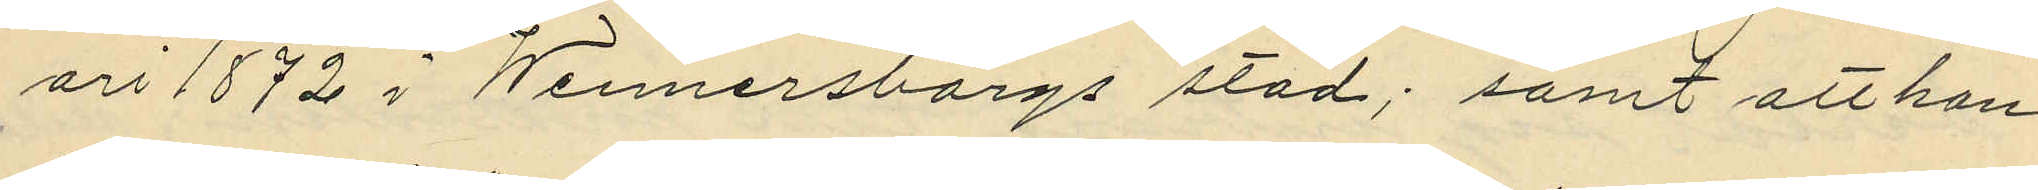ari 1872 i Wennersborgs stad; samt att han
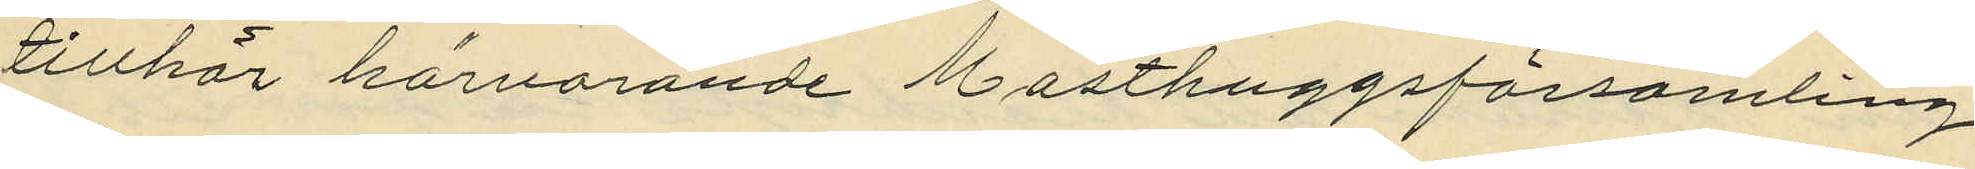tillhör härvarande Masthuggsförsamling.
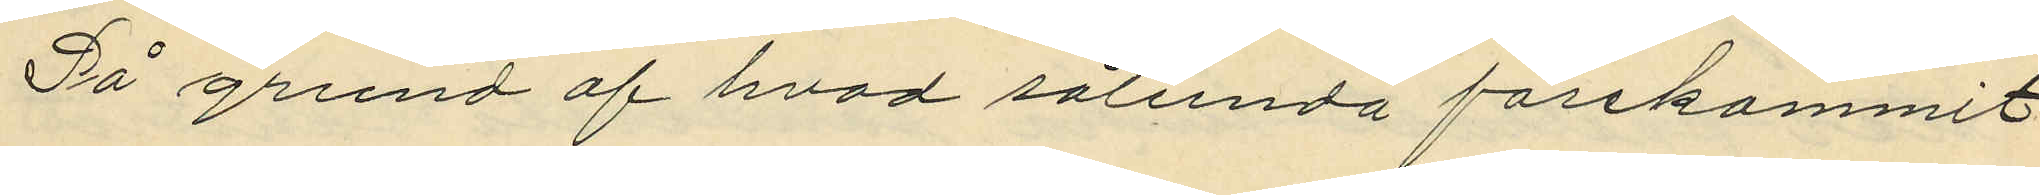På grund af hvad sålunda förekommit
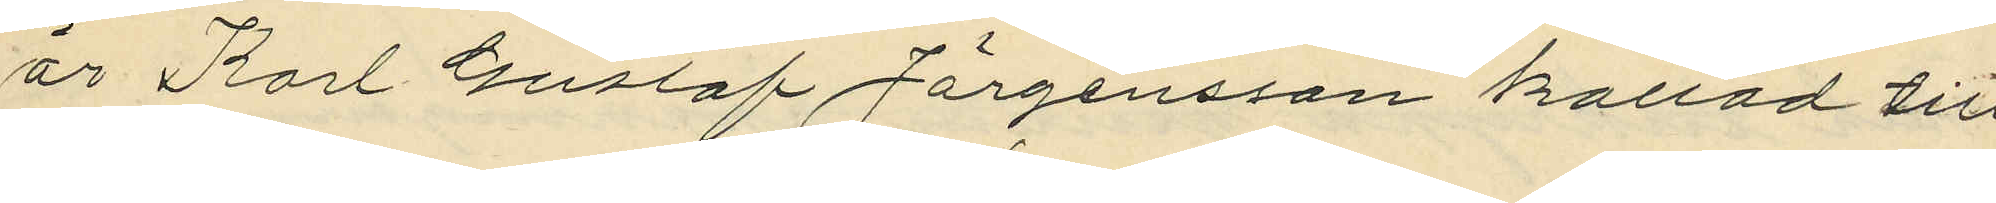är Karl Gustaf Jörgensson kallad till
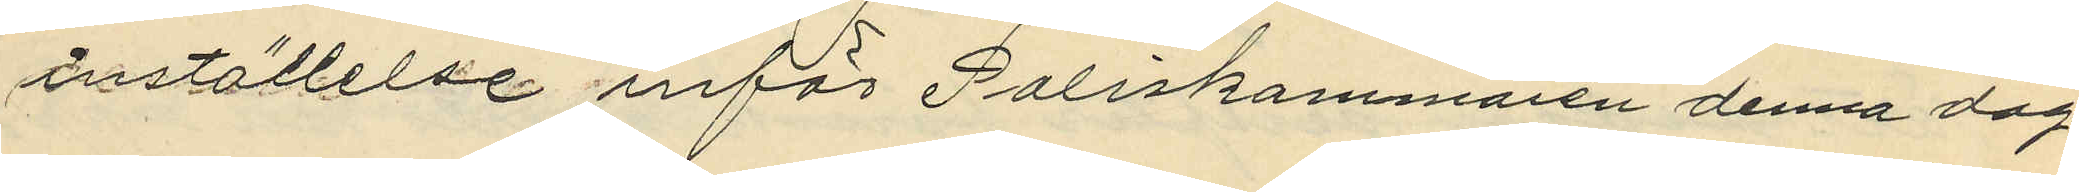inställelse inför Poliskammaren denna dag.
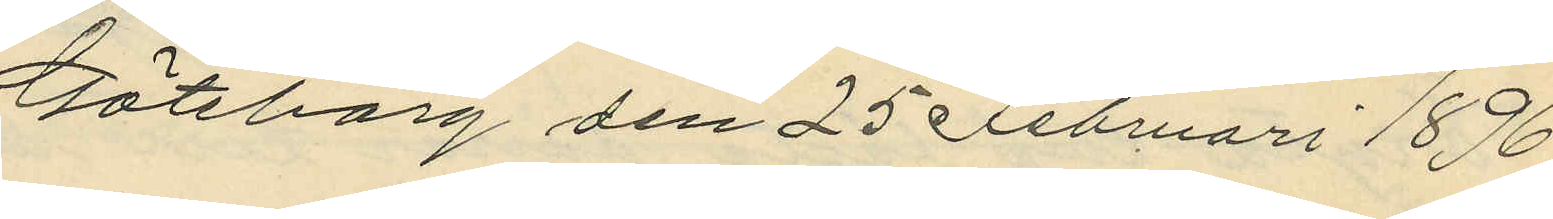Göteborg den 25 Februari 1896.
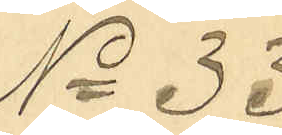No 33
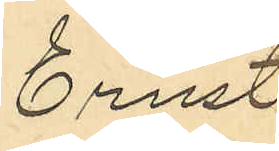Ernst
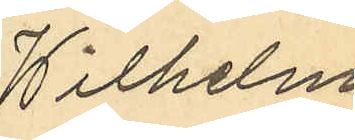Wilhelm
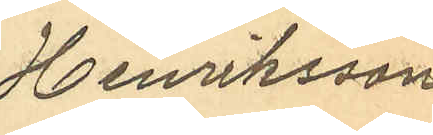Henriksson
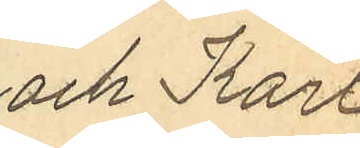och Karl
